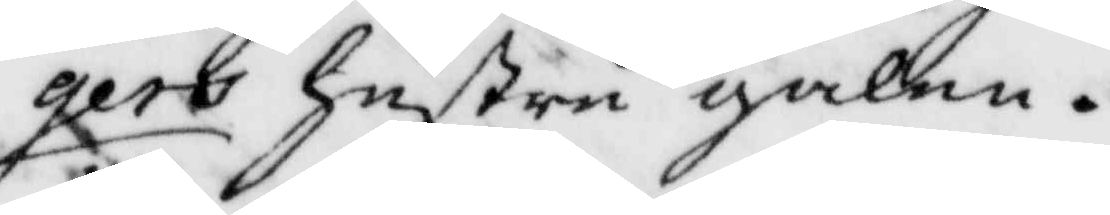gers hustru galen.
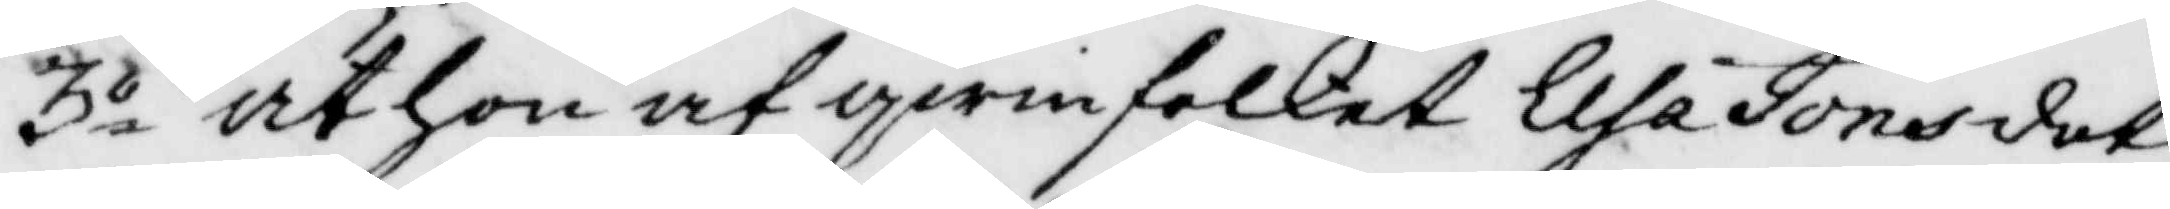3o at hon af qwinfolket Elsa Jonsdot¬
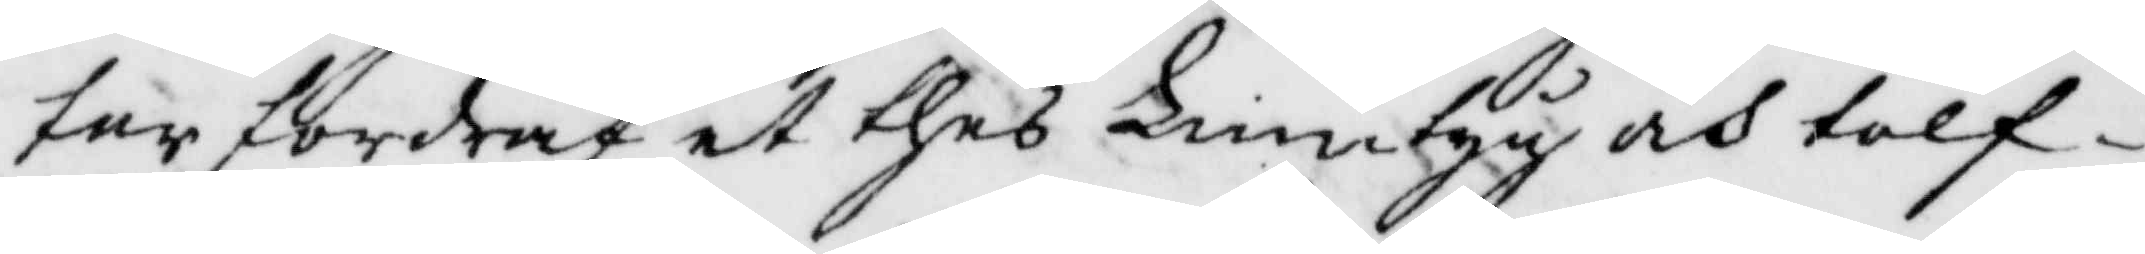ter fordrat et thed Lintyg och tolf¬
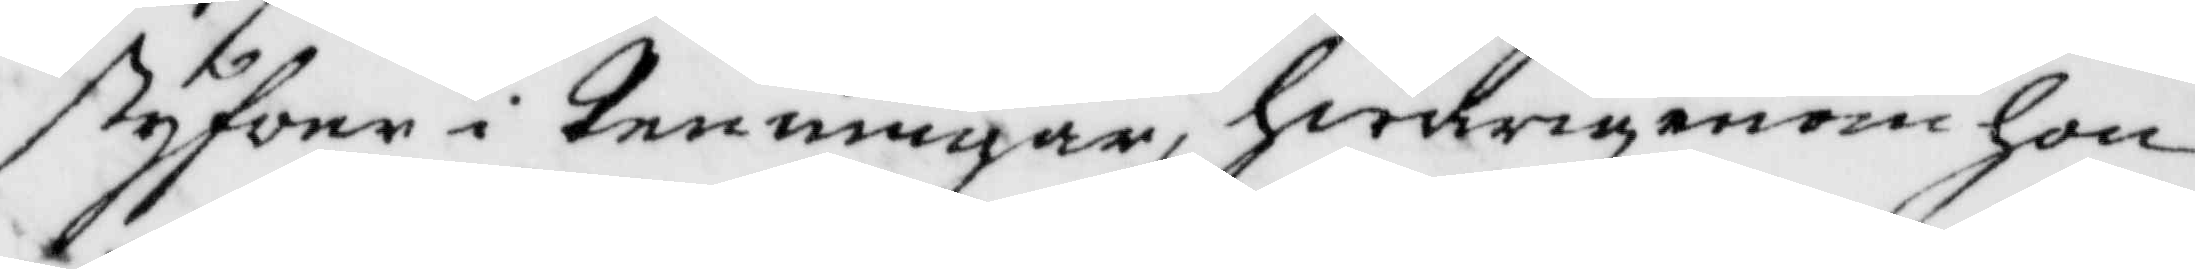styfwer i penningar, hwarigenom hon
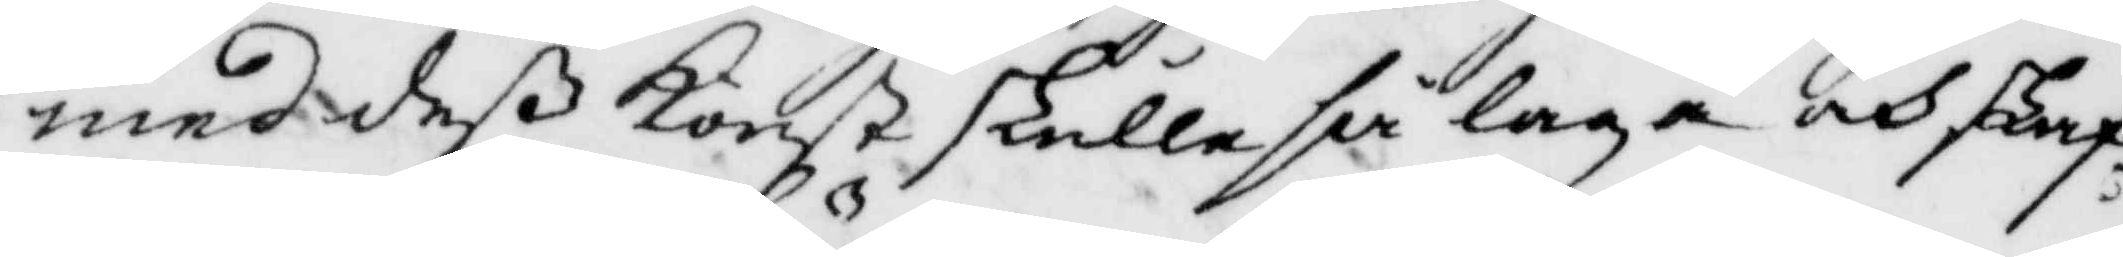med deß Konst skulle så laga och skaf¬
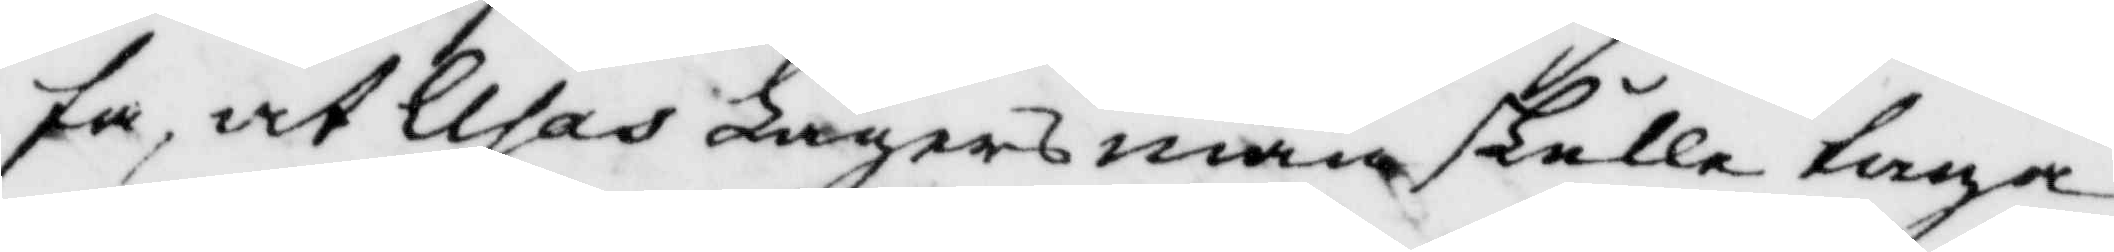fa, at Elsas Lägersman skulle taga
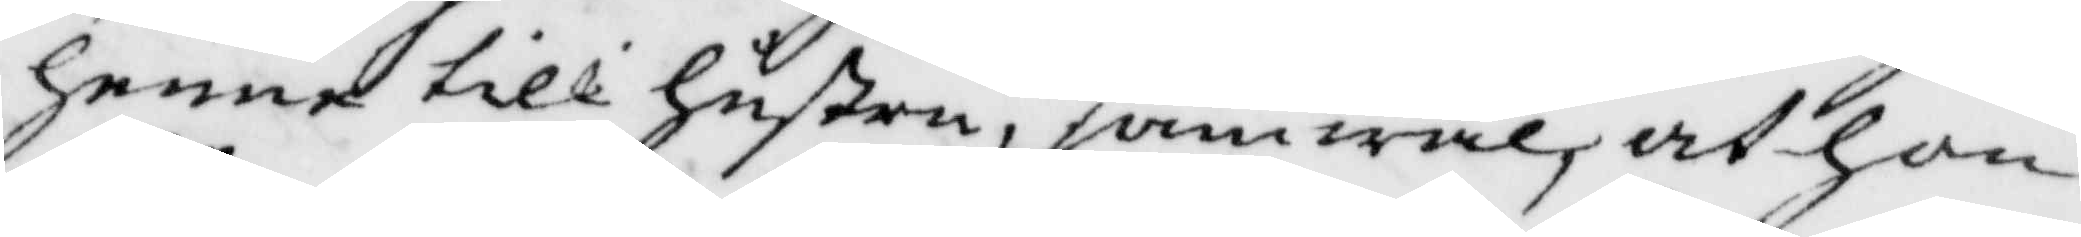henne till hustru, jämwäl at hon
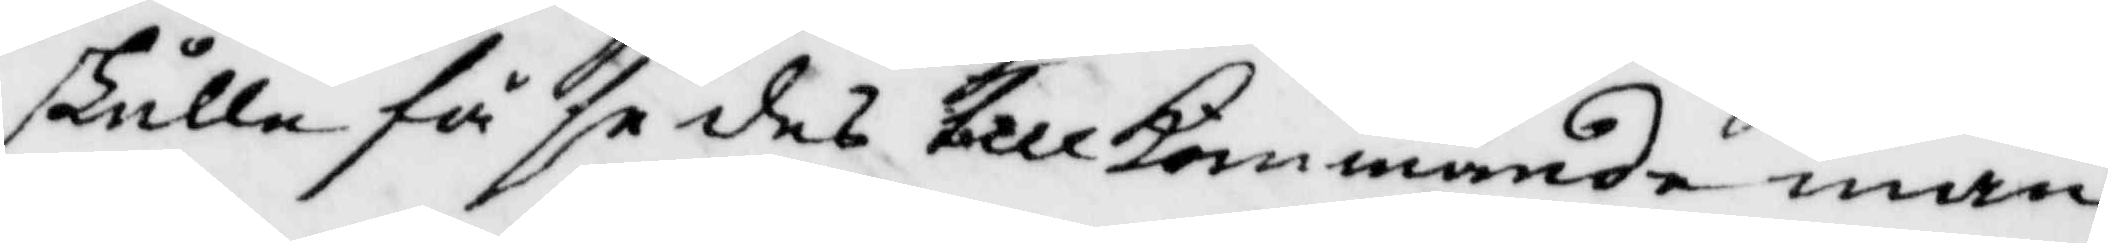skulle få se des tillkommande man
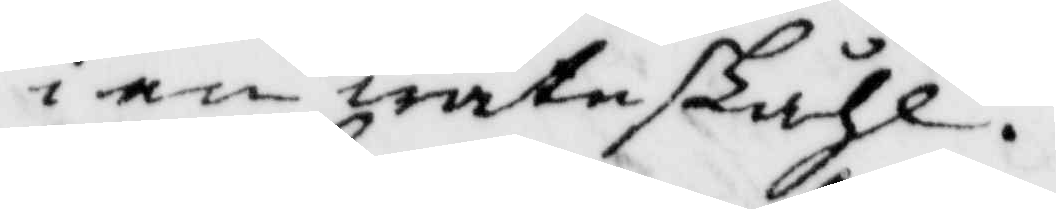i en watnskähl.
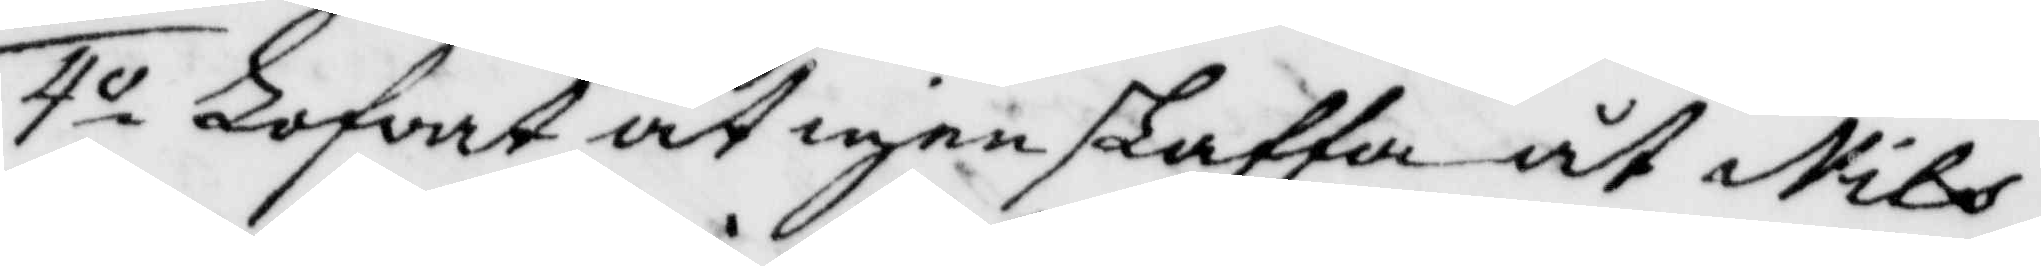4o Lofvat at igenskaffa åt Nils
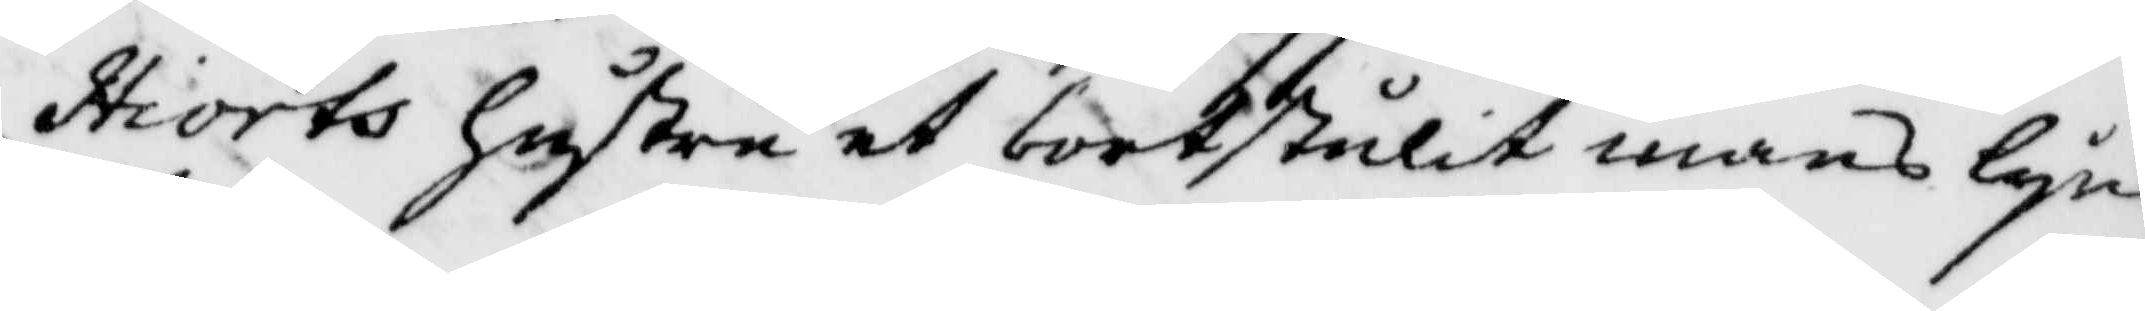Hiorts hustru et bortstulit mans lyn¬
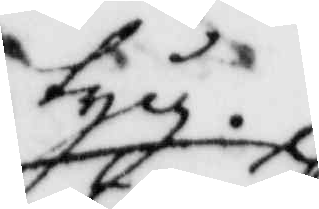tyg.
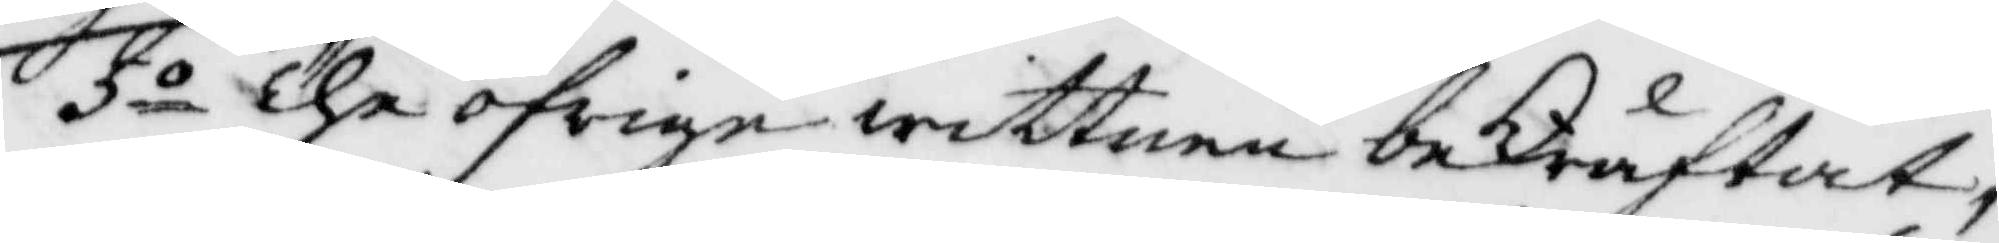5o The öfrige wittnen beKräftat,
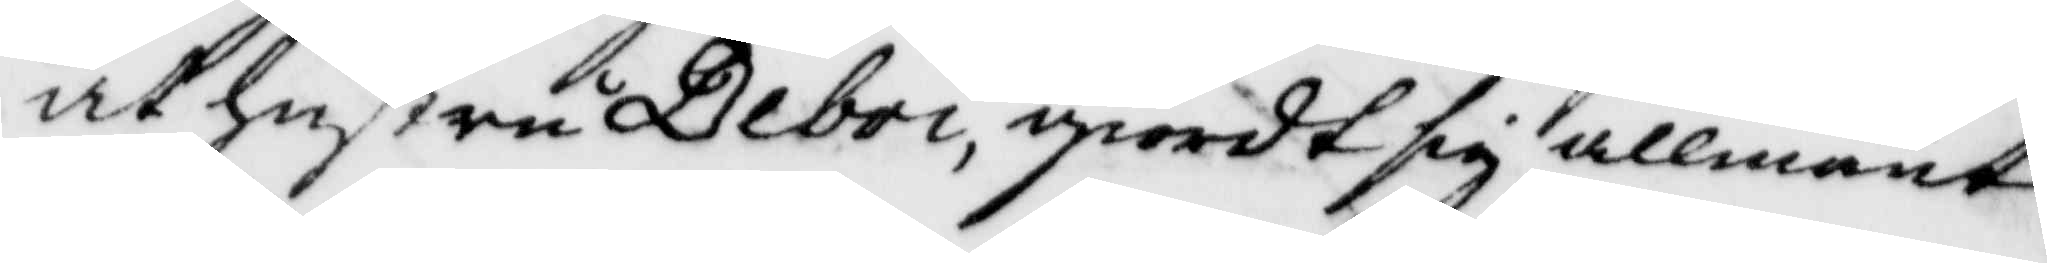at hustru Deboi, giordt sig allmänt
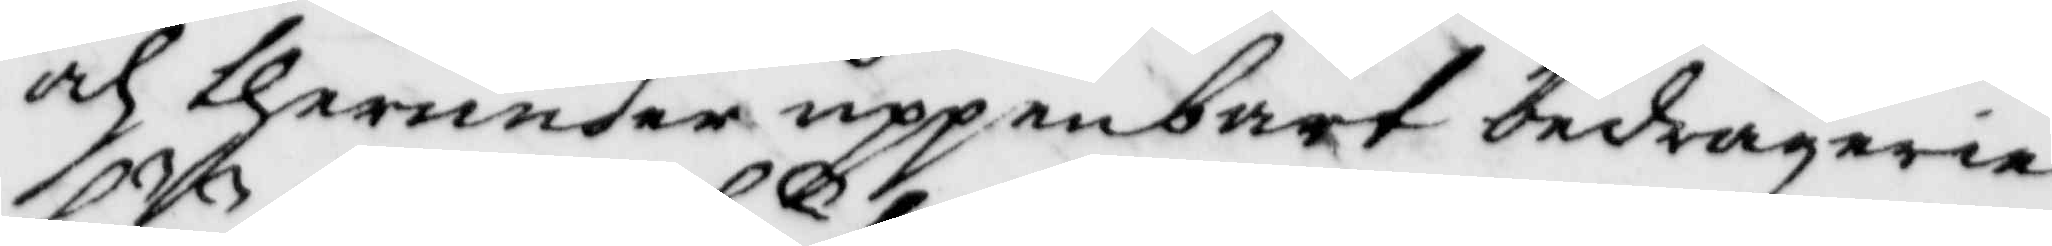och therunder uppenbart bedrägerie
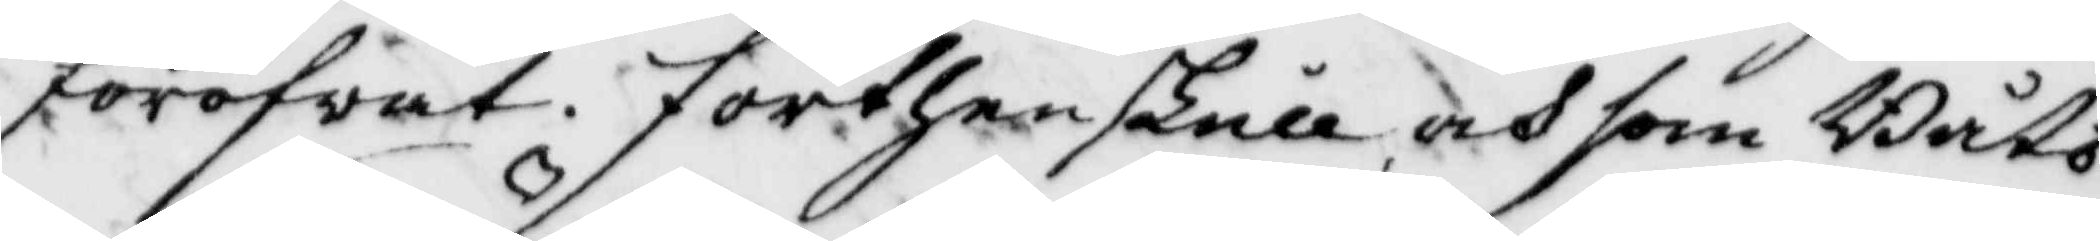föröfvat. Förthenskull och som Båts¬
